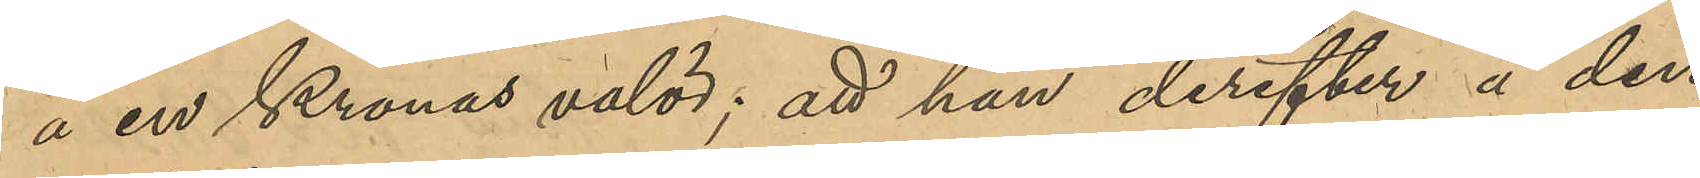å en Kronas valör; att han derefter å den
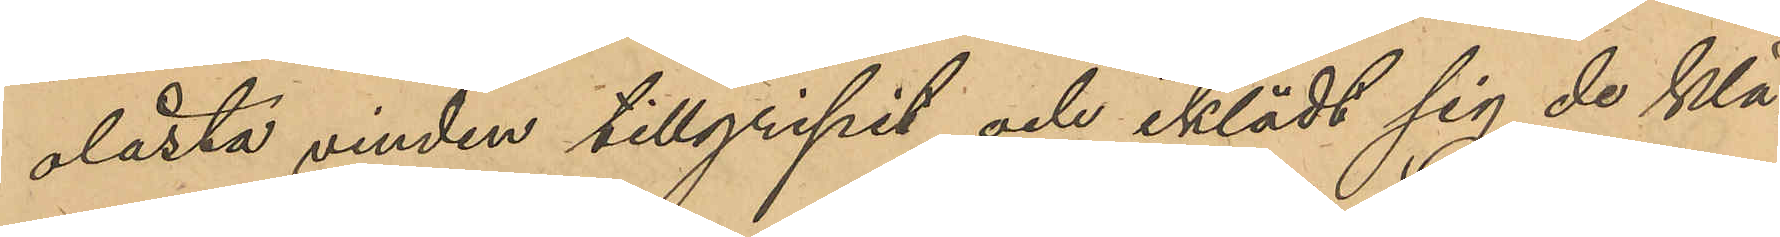olåsta vinden tillgripit och iklädt sig de klä¬
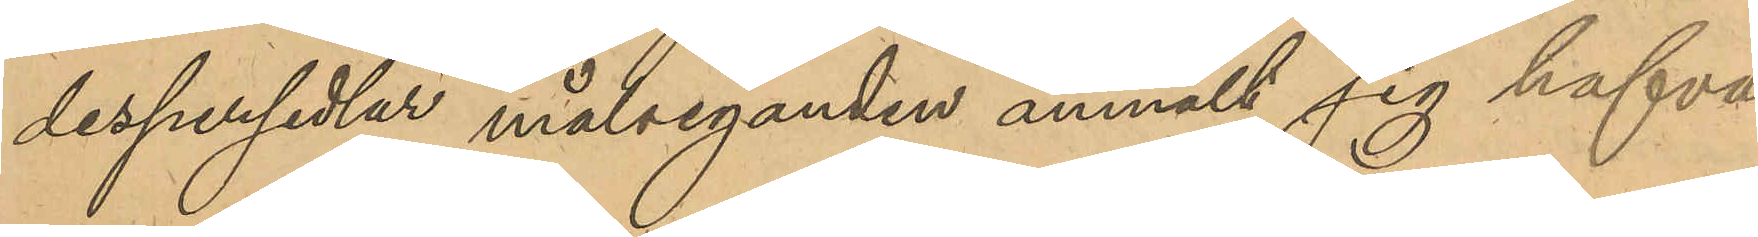despersedlar målseganden anmält sig hafva
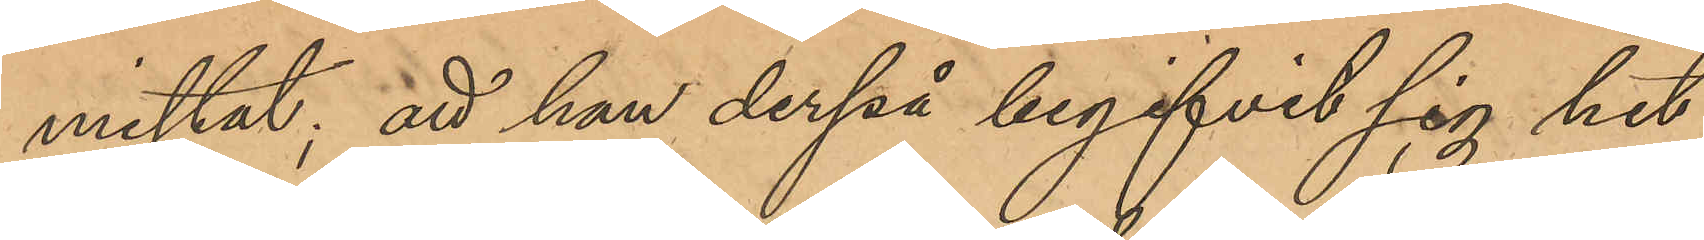mistat; att han derpå begifvit sig hit
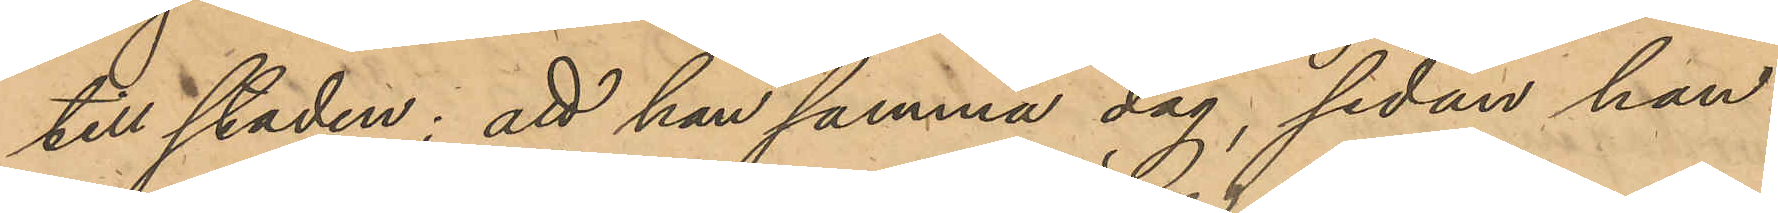till staden; att han samma dag, sedan han
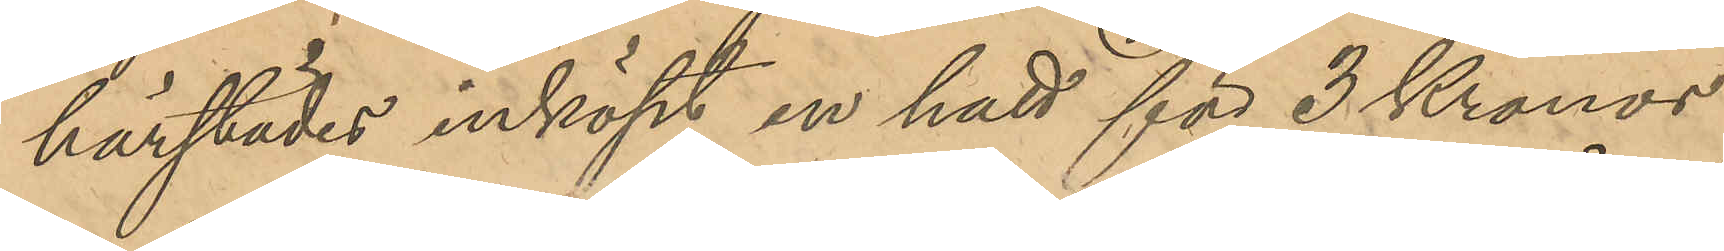härstädes inköpt en hatt för 3 Kronor
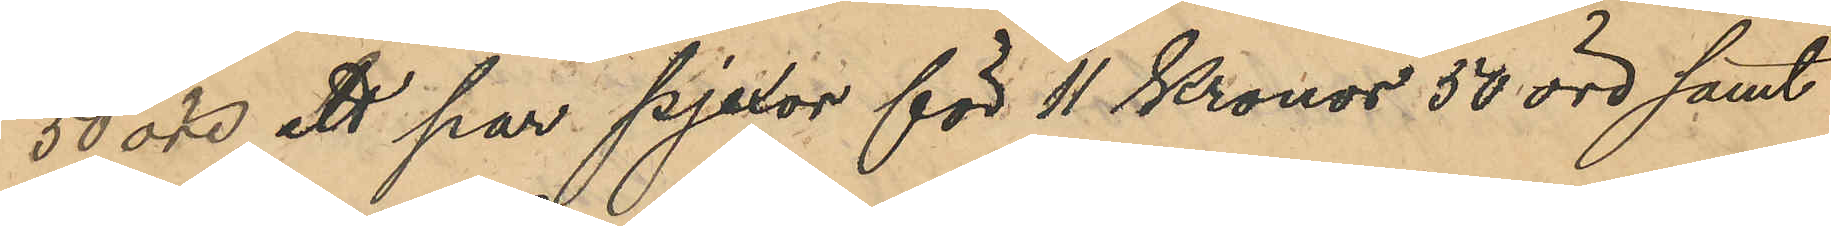50 öre, ett par pjexor för 11 Kronor 50 öre samt
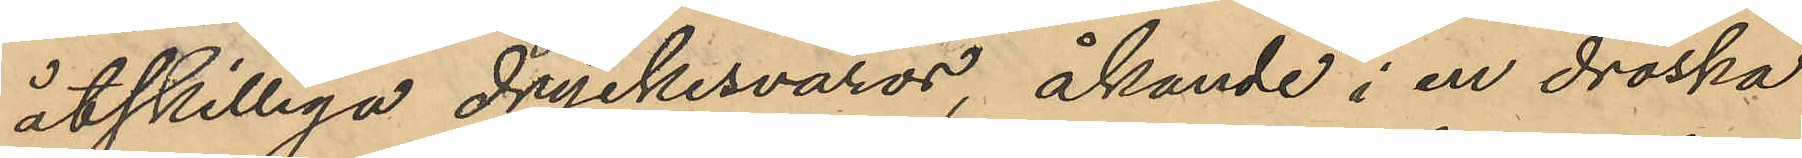åtskilliga dryckesvaror, åkande i en droska
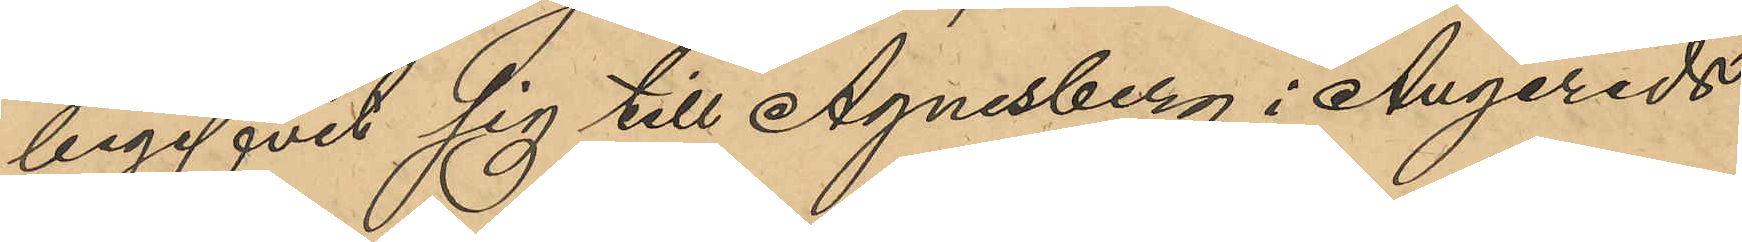begifvit sig till Agnesberg i Angereds
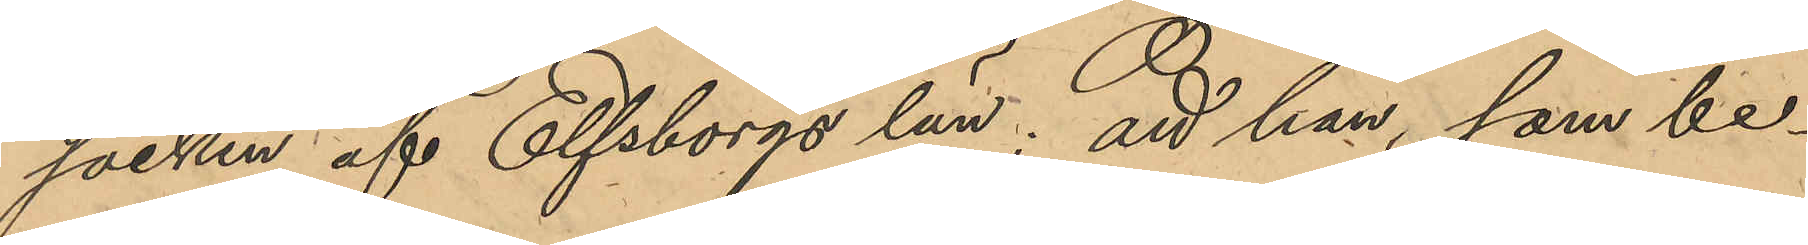socken af Elfsborgs län; att han, som be¬
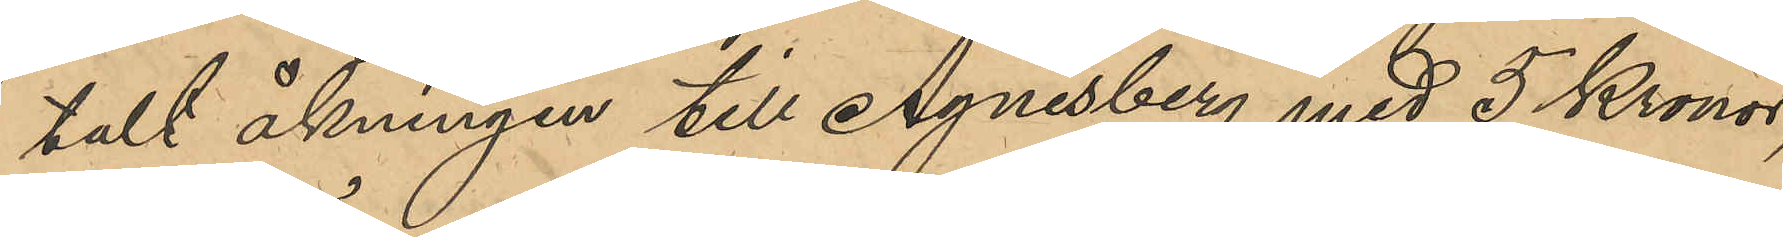talt åkningen till Agnesberg med 5 Kronor,
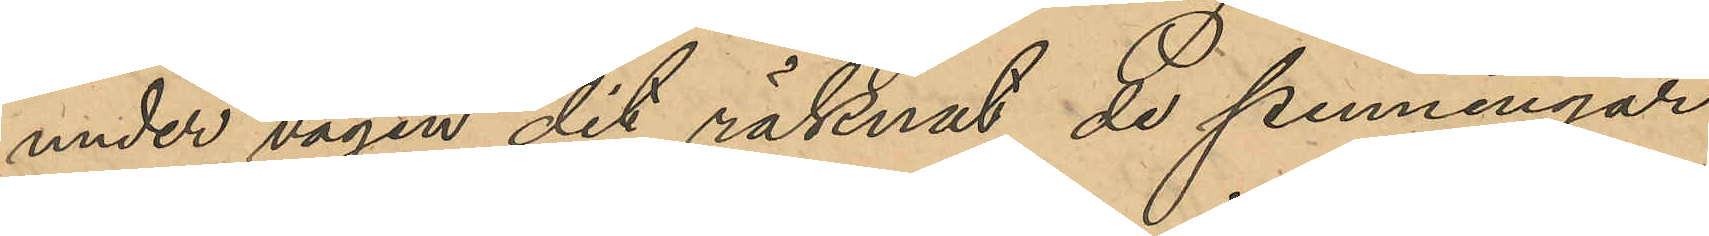under vägen dit räknat de penningar
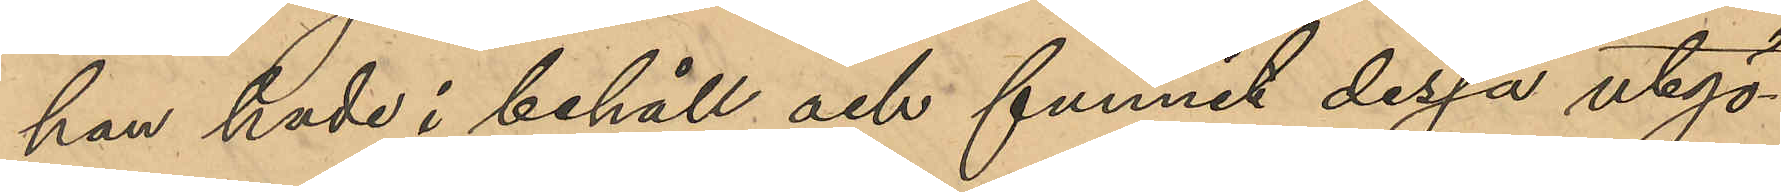han hade i behåll och funnit dessa utgö¬
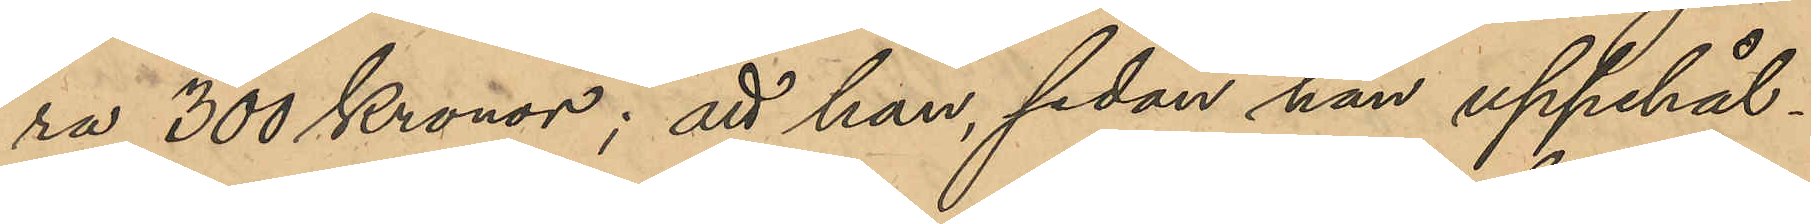ra 300 Kronor; att han, sedan han uppehål¬
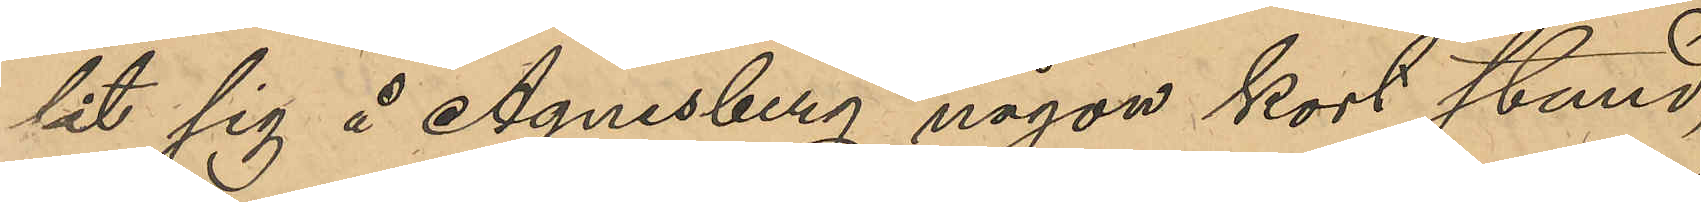lit sig å Agnesberg någon kort stund,
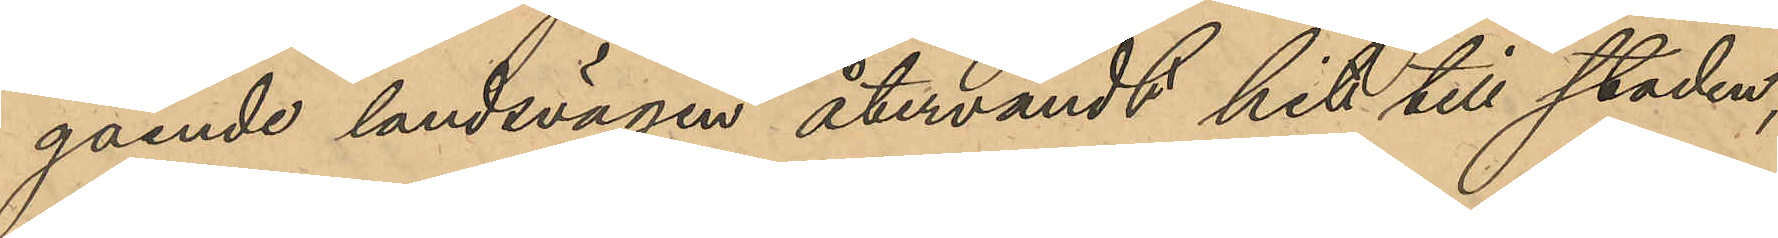gående landsvägen återvändt hit till staden,
